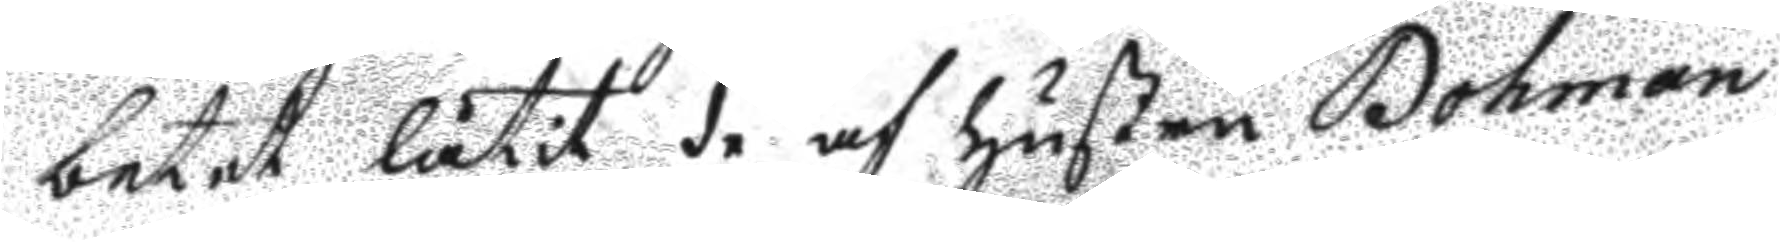betet låtit de af hustru Bohman
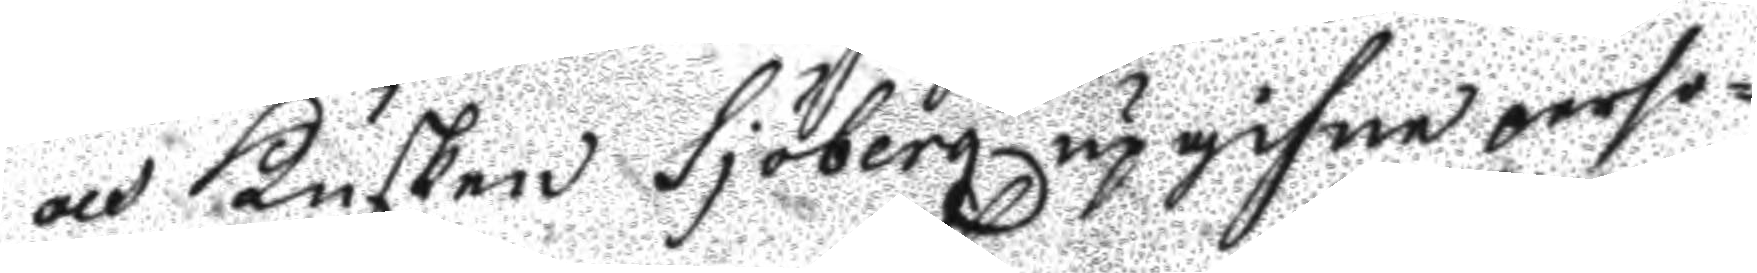och Kusken Sjöberg upgifne perso¬
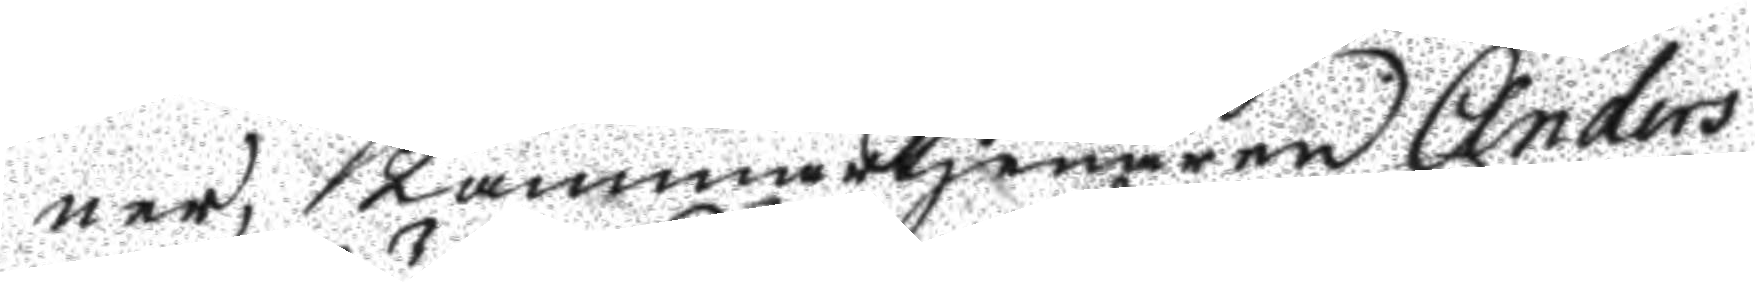ner, Kammartjenaren Anders
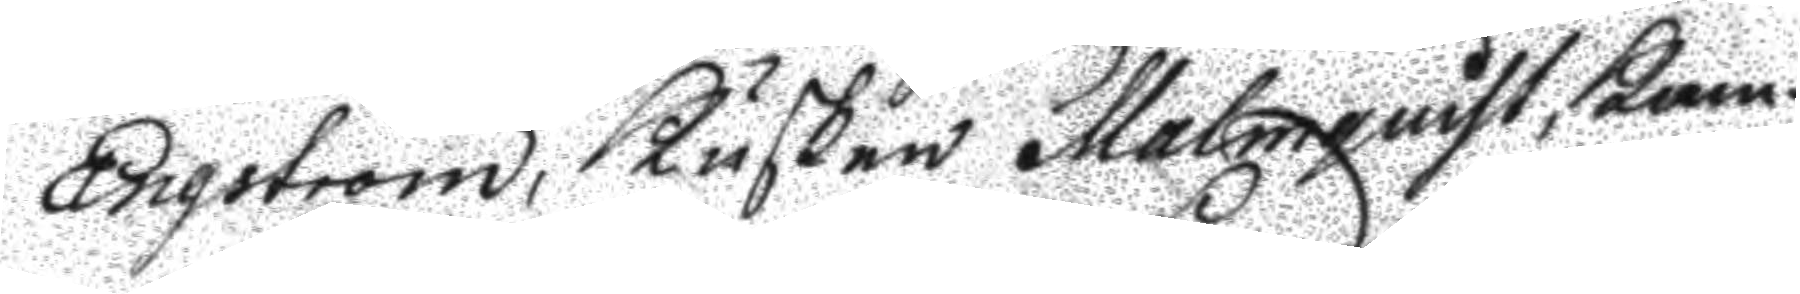Engström, Kusken Malmquist, Kam¬
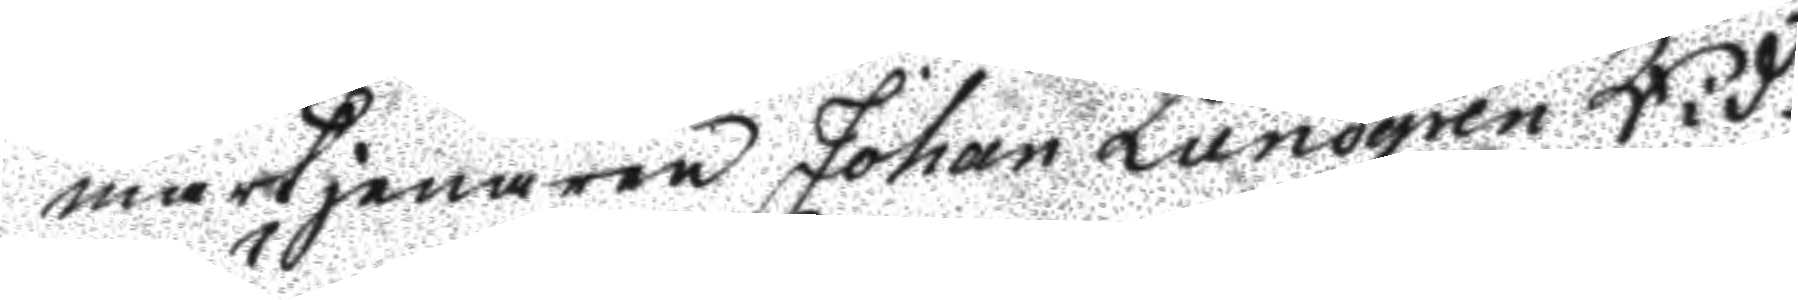martjenaren Johan Lundgren Rid¬
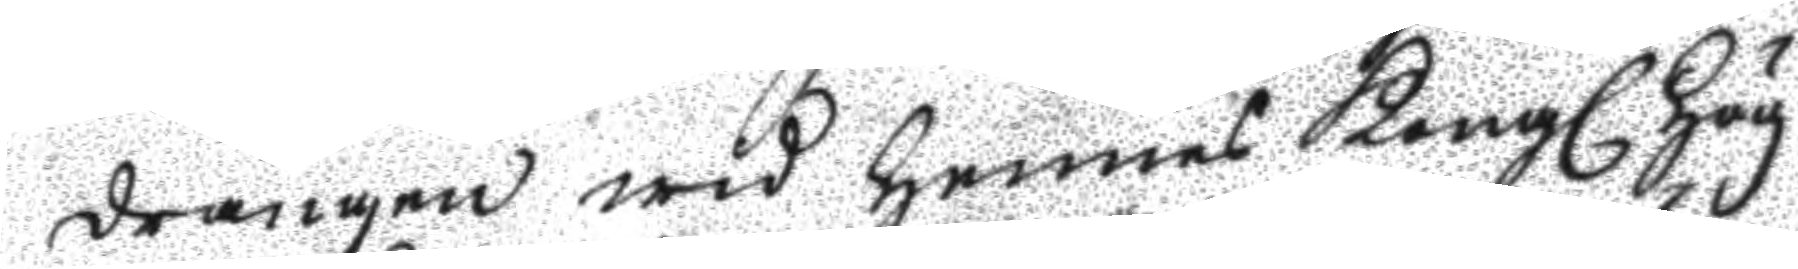drängen wid hennes Kongl. Hög¬ 
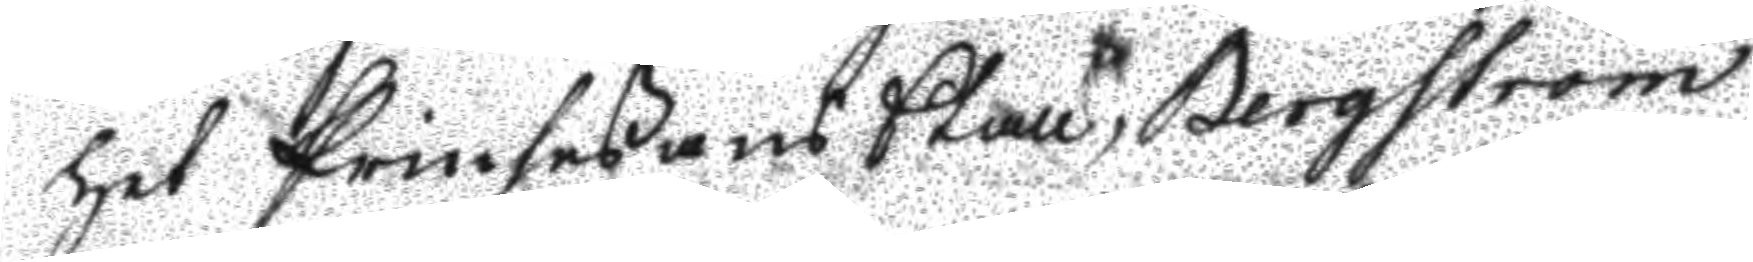het Prinsesans Stall Bergström
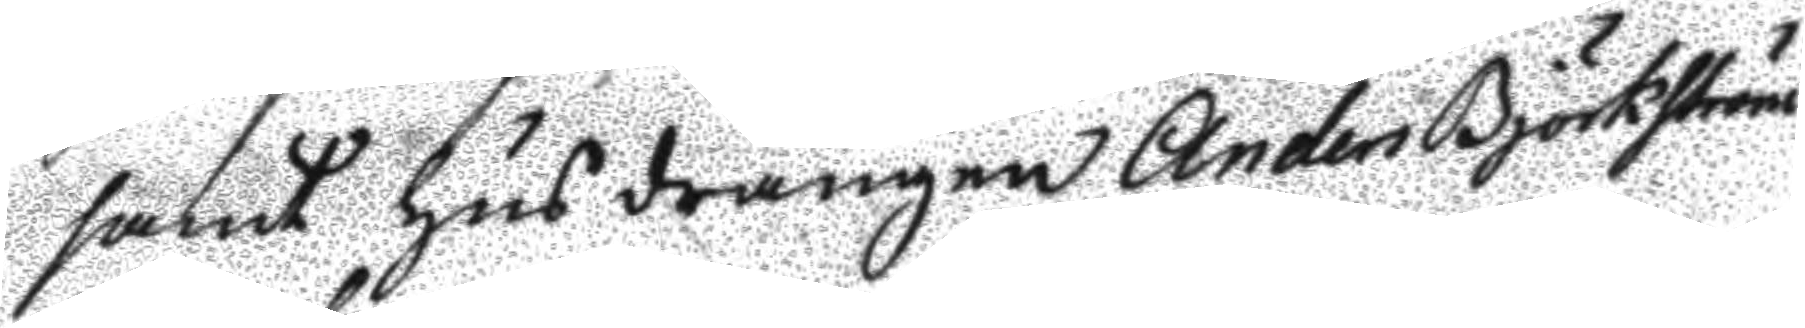samt husdrängen Anders Björkström
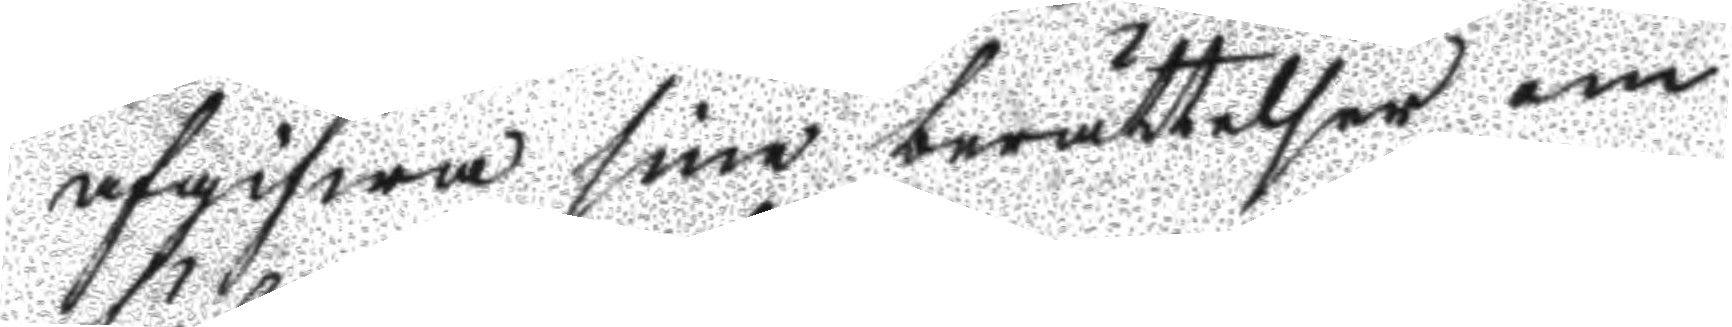afgifwa sine berättelser om
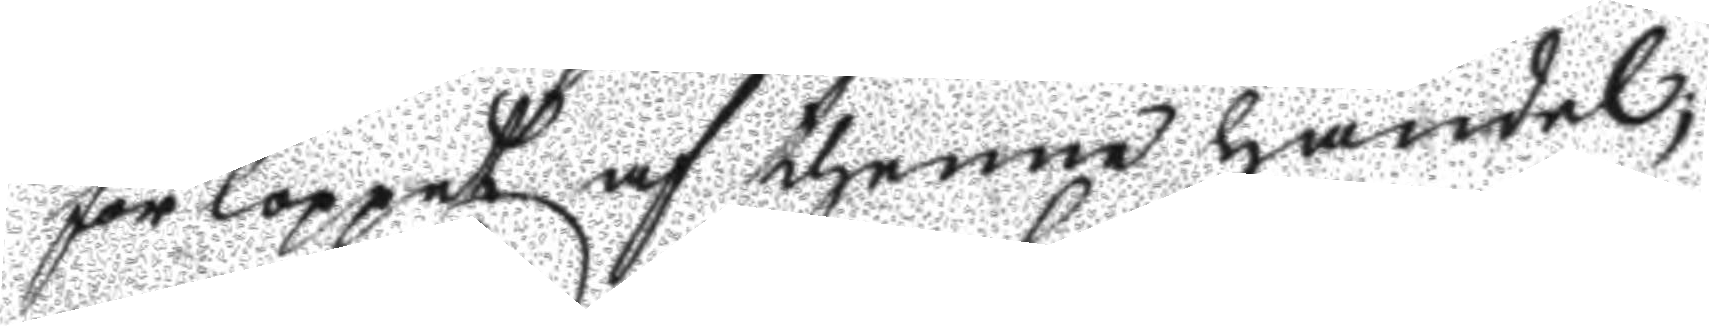förloppet af thenne händel:
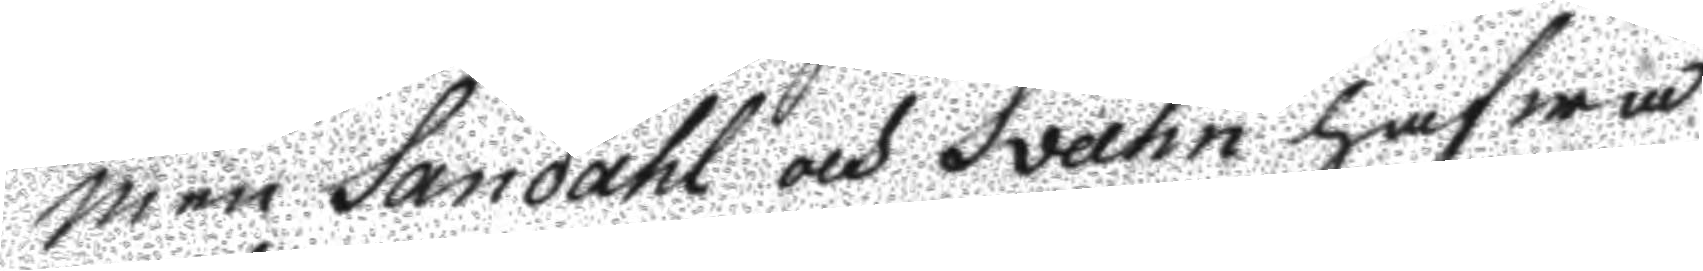men Sandahl och Svahn hafwa
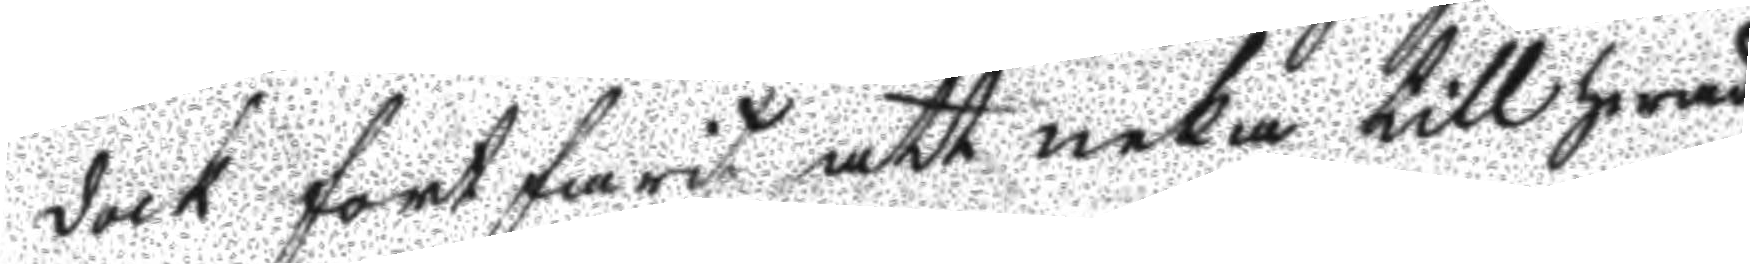dock fortfarit att neka till hwad
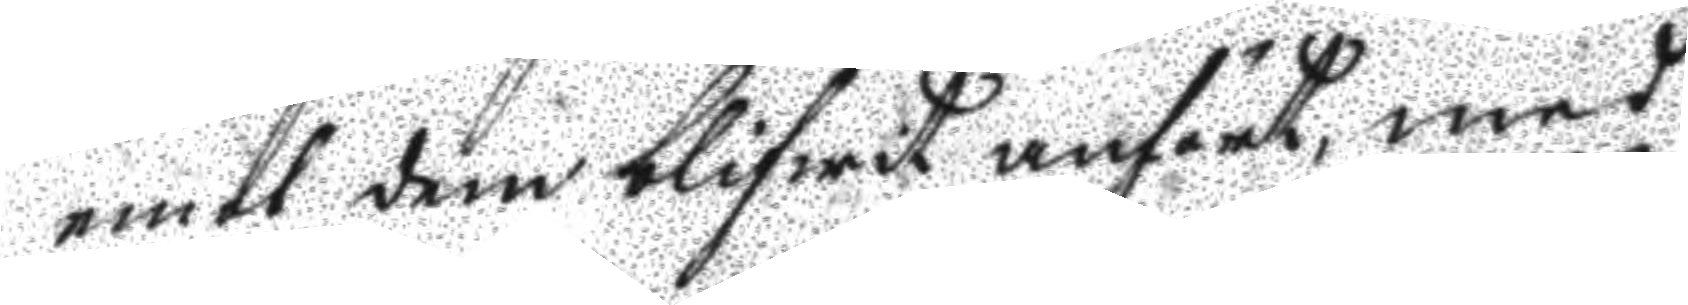emot dem blifwit anfört, med
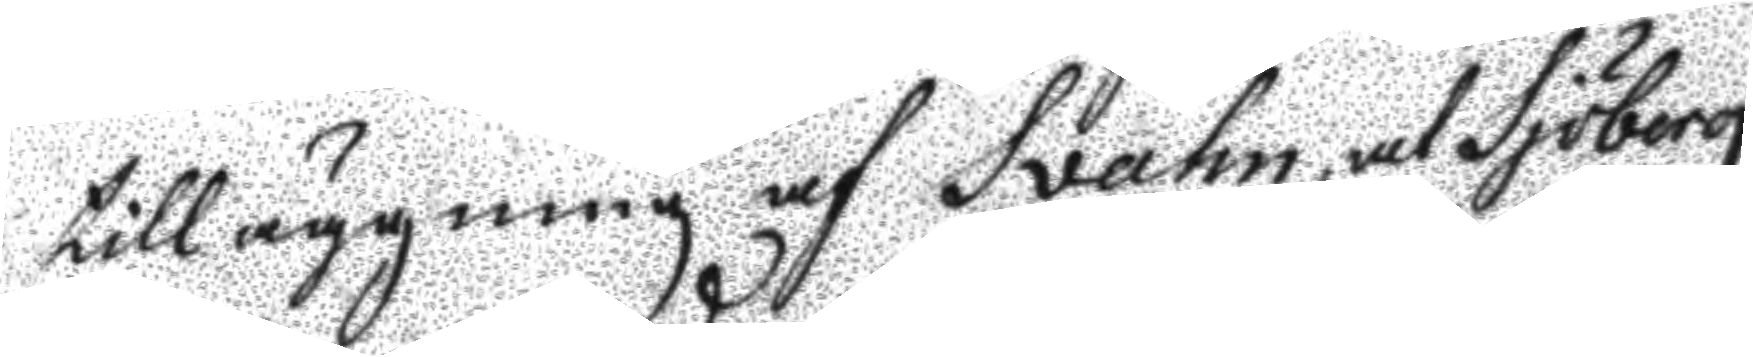tilläggning af Svahn at Sjöberg
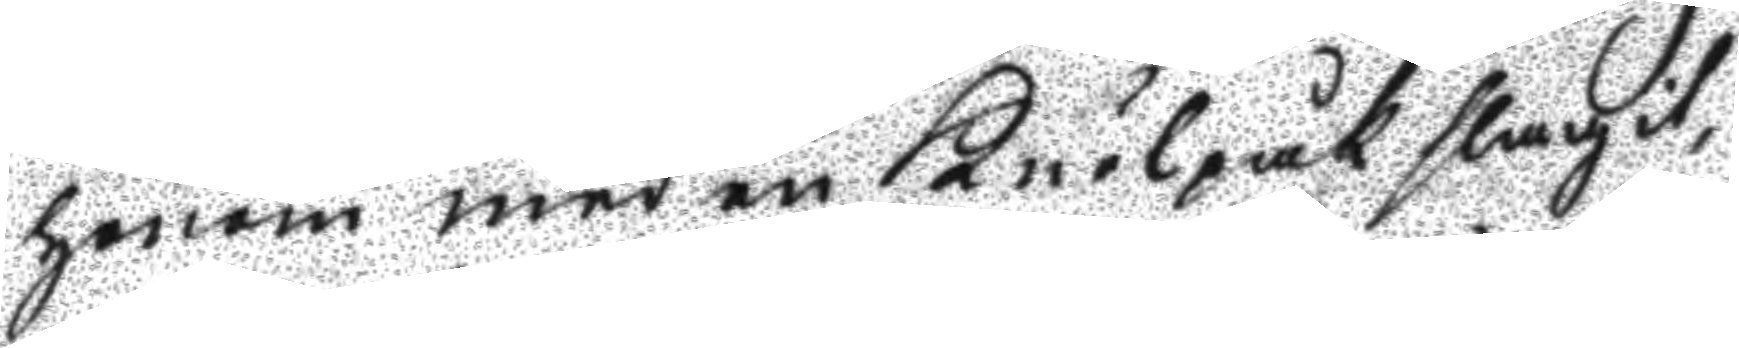honom med en Knölpåk slagit,
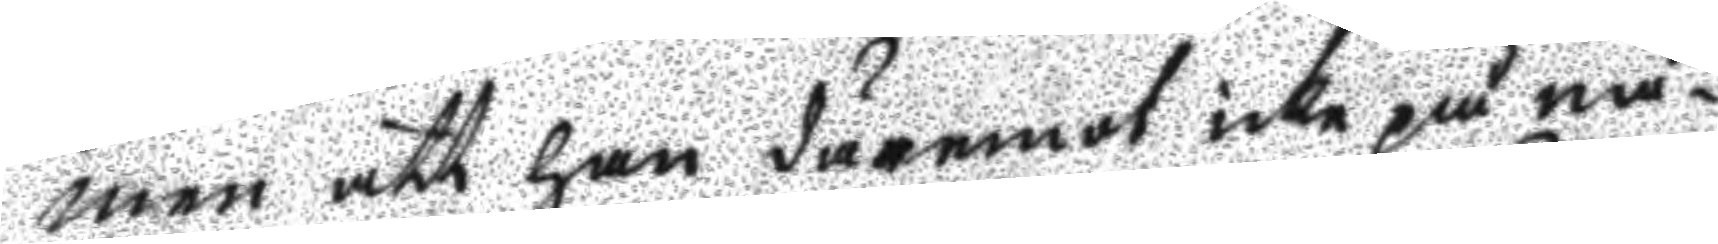men att han deremot icke på nå¬
